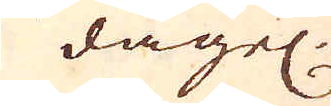dagel:
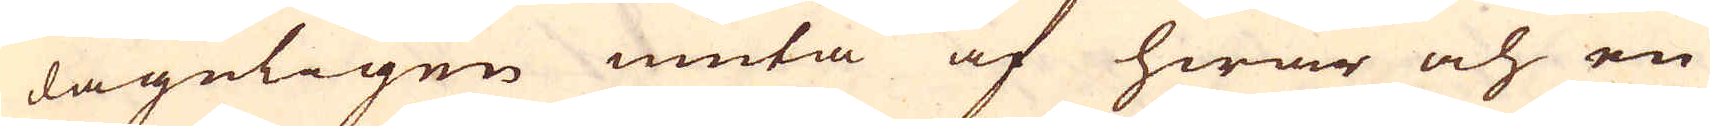dageligen niuta af hwar och en
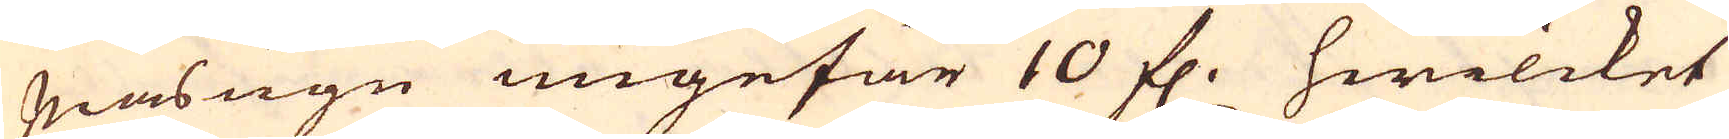Masugn ungefär 10 fl. hwilcket
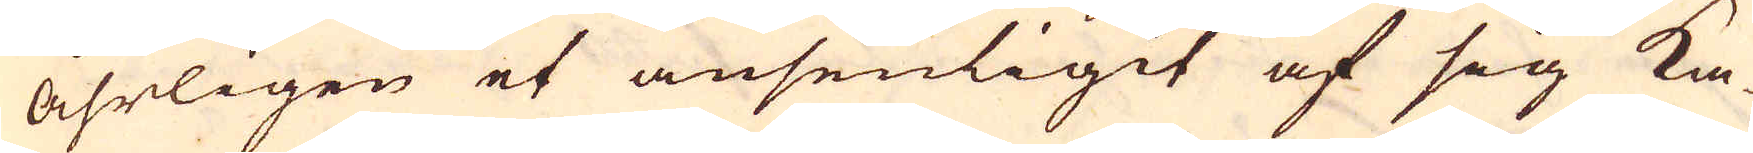åhrligen et ansenligit af sig ka-
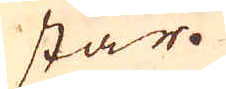star.
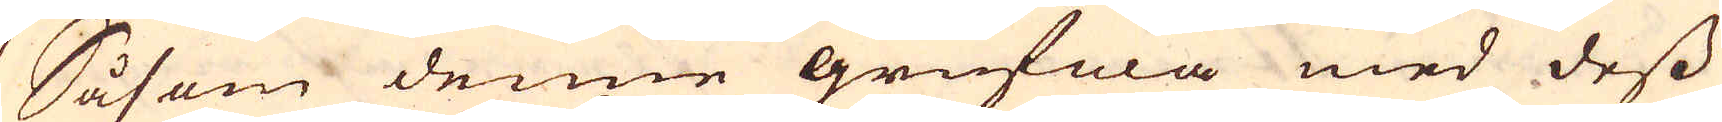Såsom denne grufwa med dess
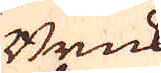Bruk
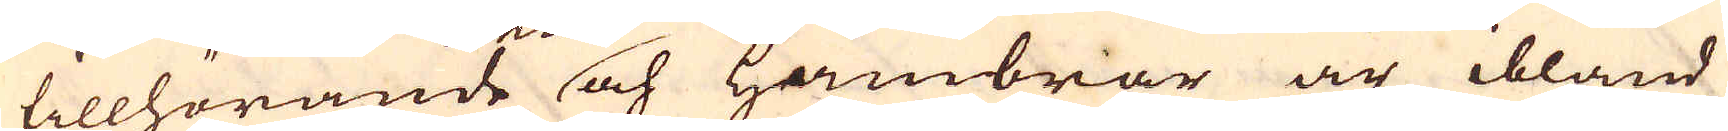tillhörande och Hambrar är ibland
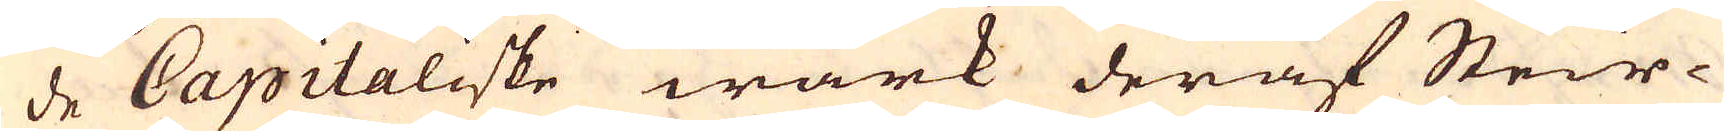de Capitaliske wärk deraf Steir-
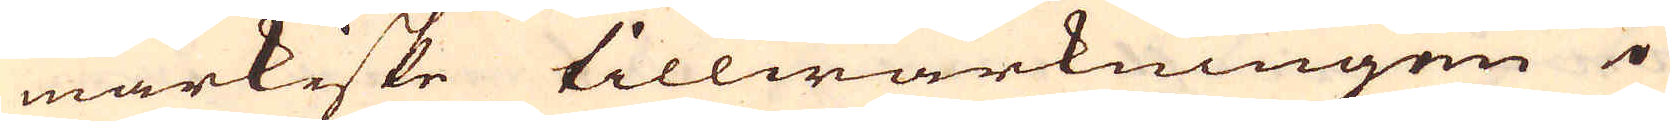markiske tillwärkningen i
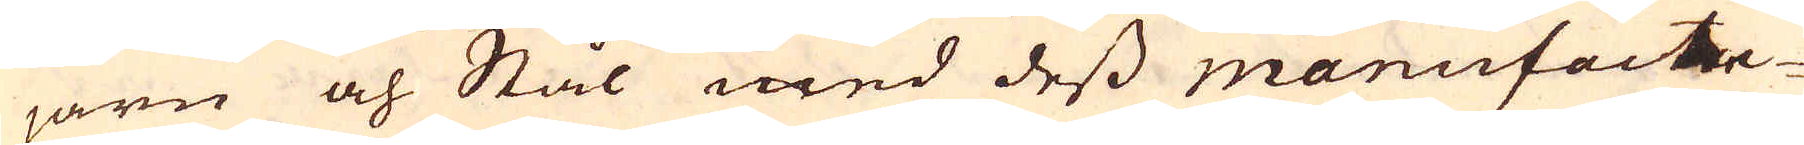järn och Stål med dess manufactu-
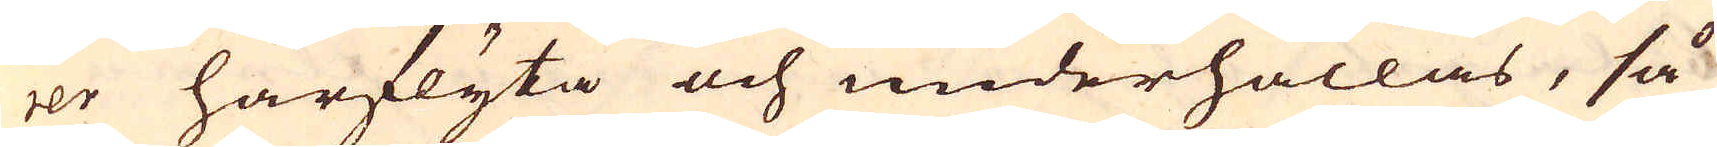rer härflyta och underhållas, så
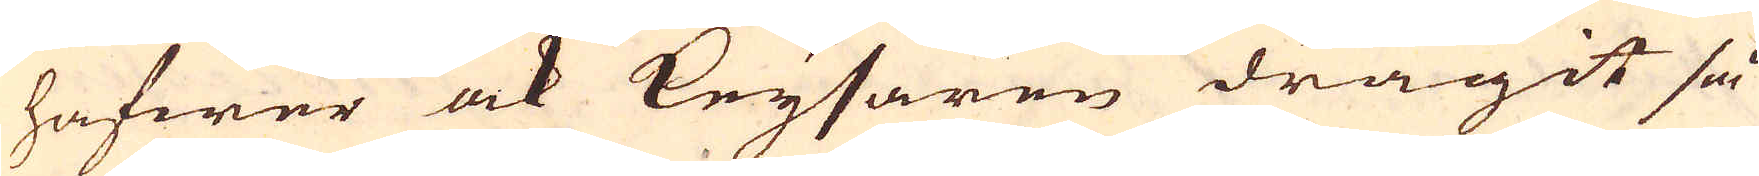hafwer ock Keysaren dragit så
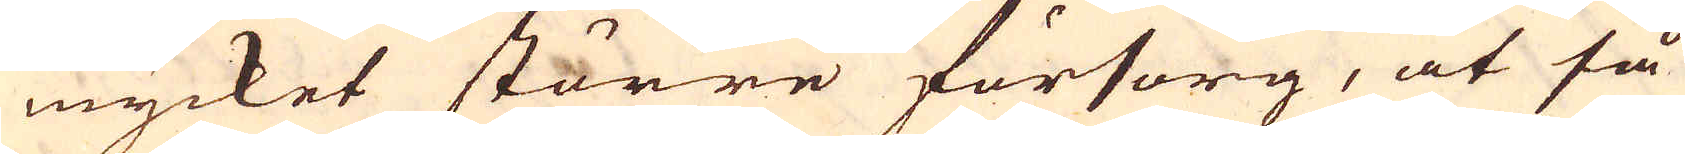mycket större försorg, at så
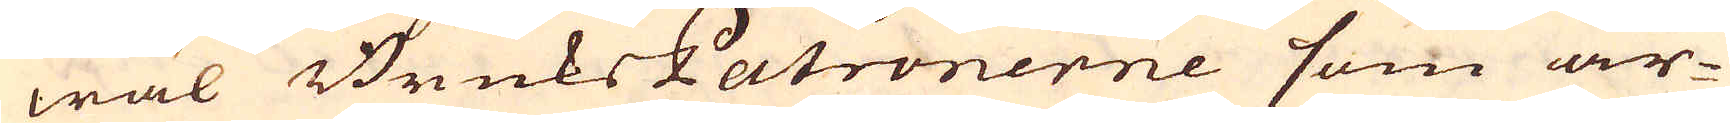wäl BruksPatronerne som ar-
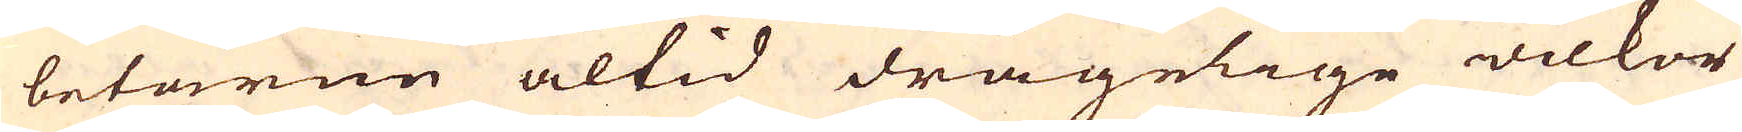betarne altid drägelige wilkor
